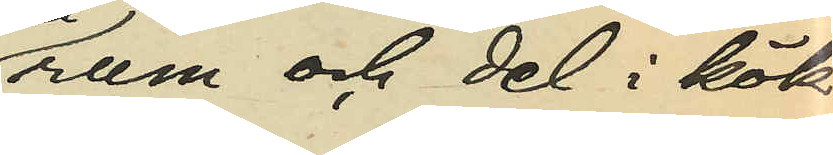rum och del i kök
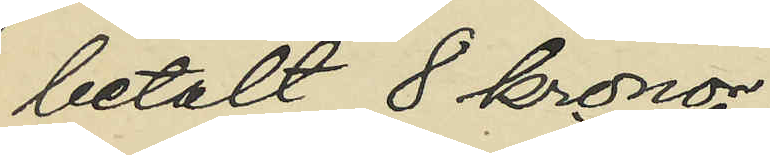betalt 8 kronor;
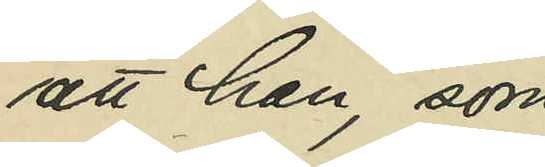att han, som
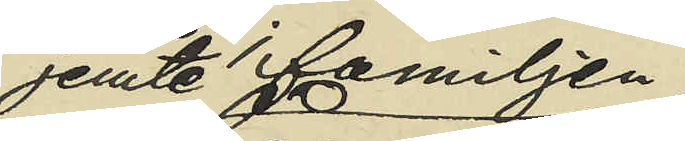jemte familjen
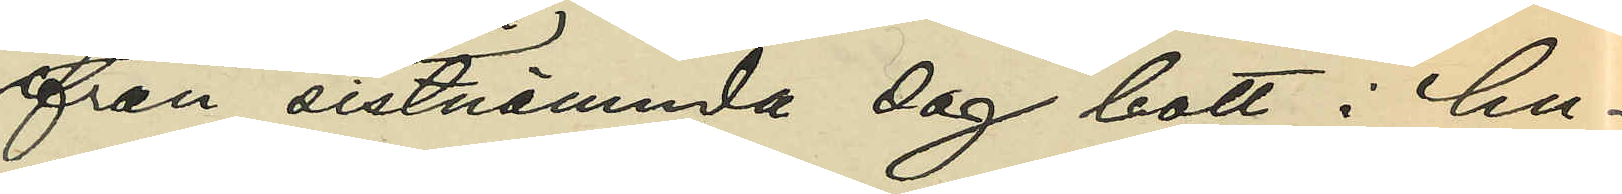från sistnämnda dag bott i hu¬
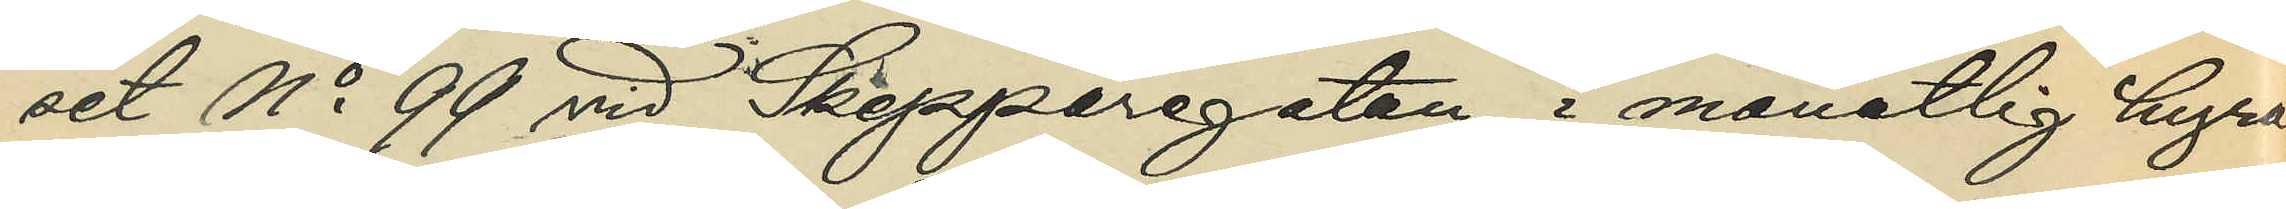set No 99 vid Skepparegatan, i månatlig hyra
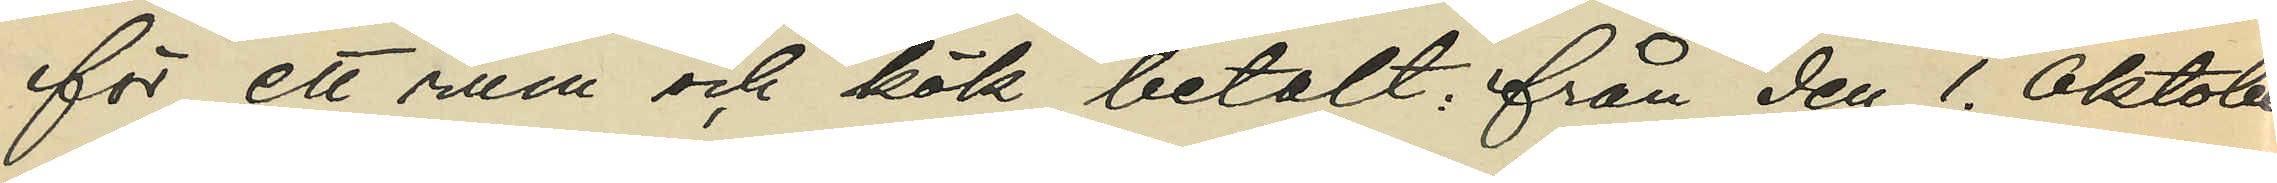för ett rum och kök betalt från den 1. Oktober
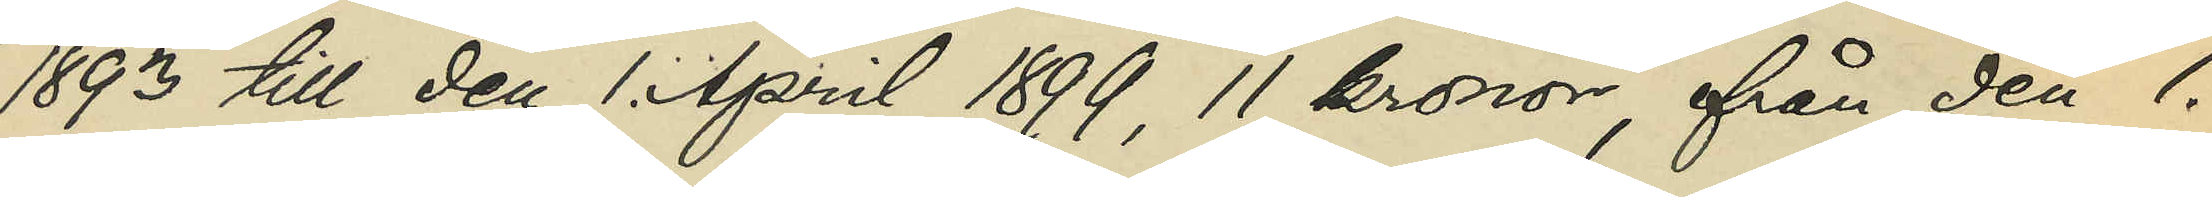1893 till den 1. April 1899, 11 kronor, från den 1.
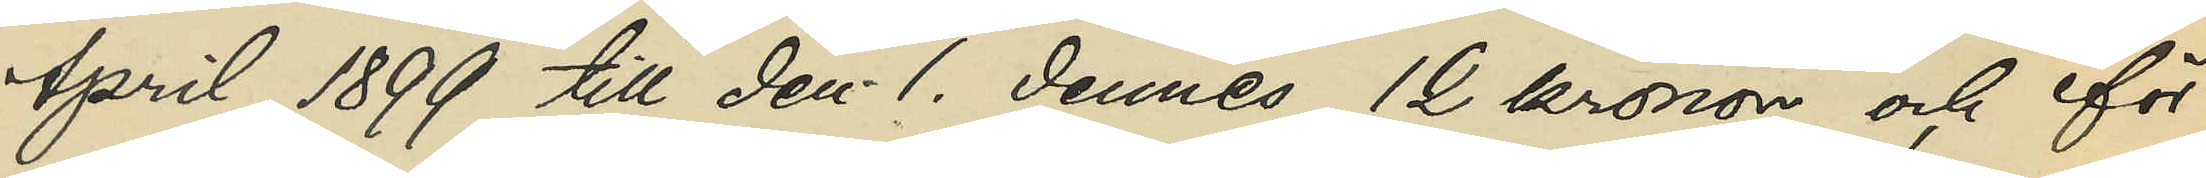April 1899 till den 1. dennes, 12 kronor och för
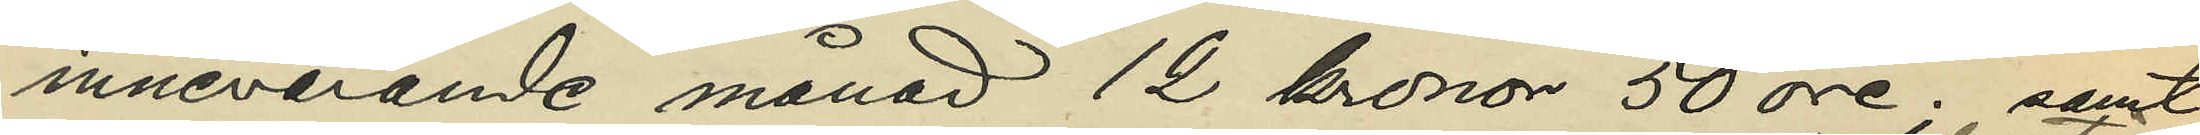innevarande månad 12 kronor 50 öre; samt
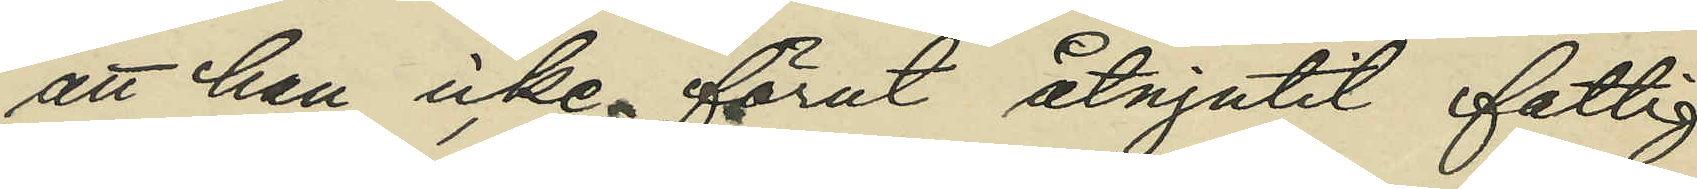att han icke förut åtnjutit fattig¬
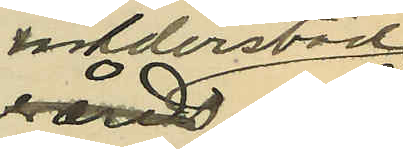understöd
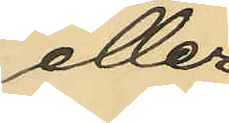eller
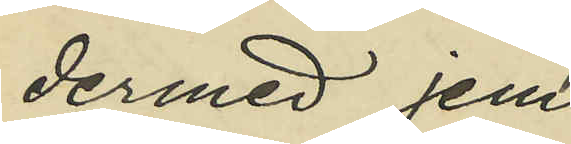dervid jem¬
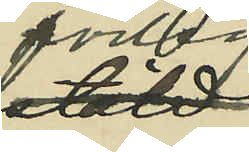förlig
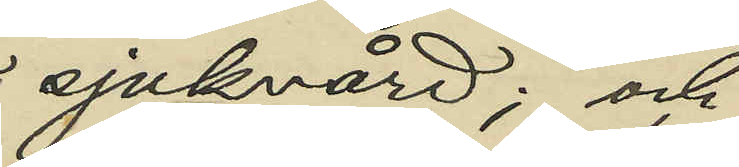sjukvård; och
